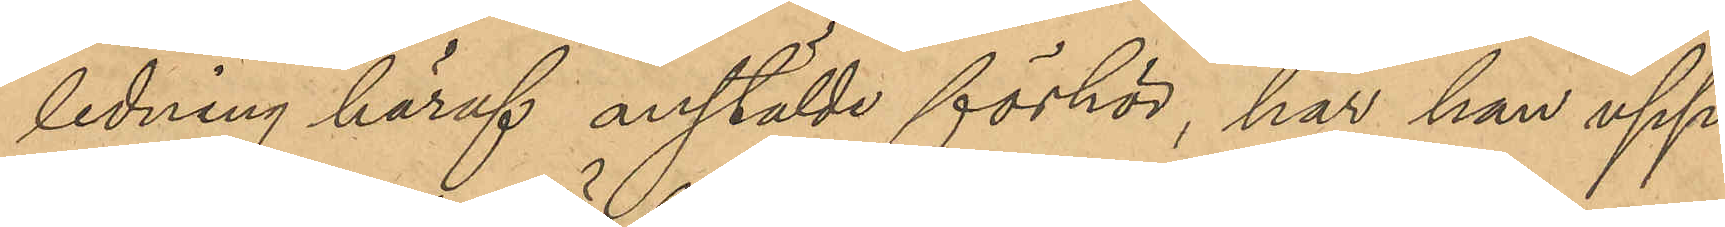ledning häraf anstälde förhör, har han upp¬
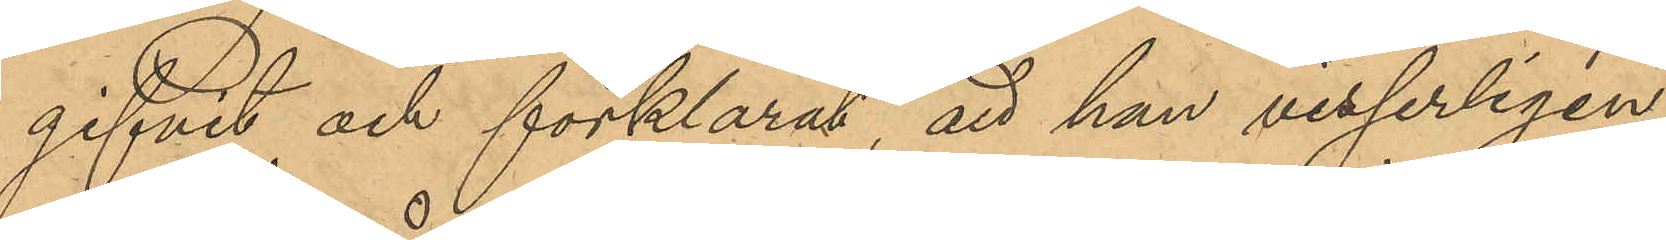gifvit och förklarat, att han visserligen,
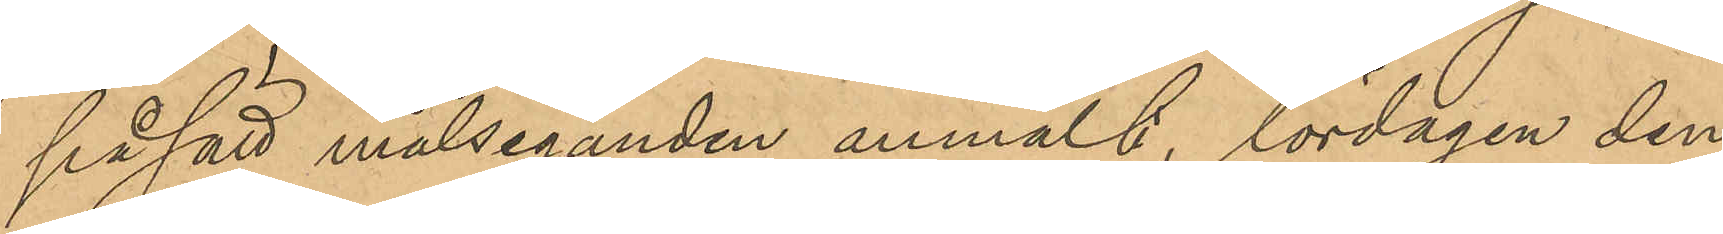på sätt målseganden anmält, lördagen den
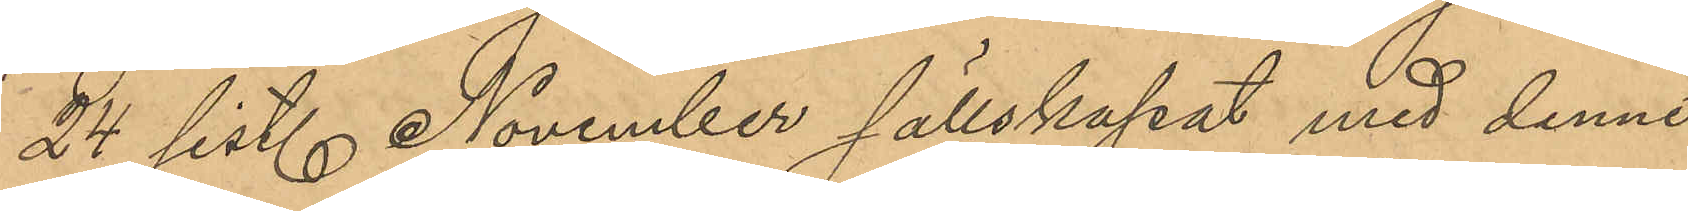24 sist. November sällskapat med denne,
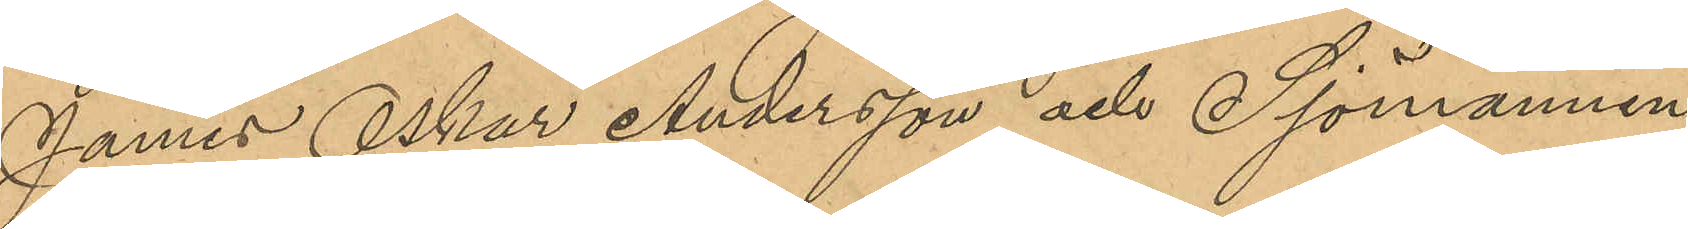James Oskar Andersson och Sjömannen
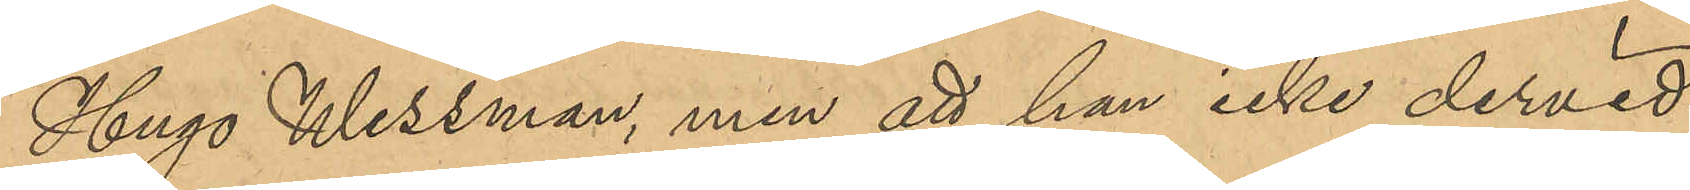Hugo Wessman, men att han icke dervid
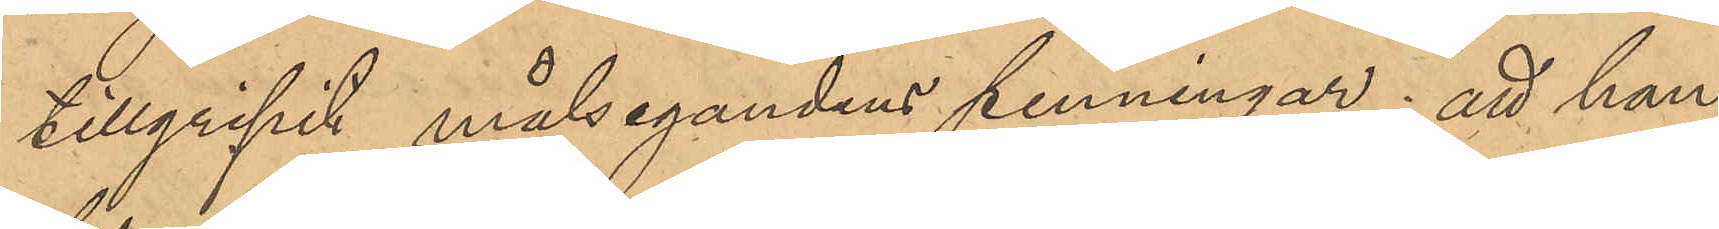tillgripit målsegandens penningar; att han
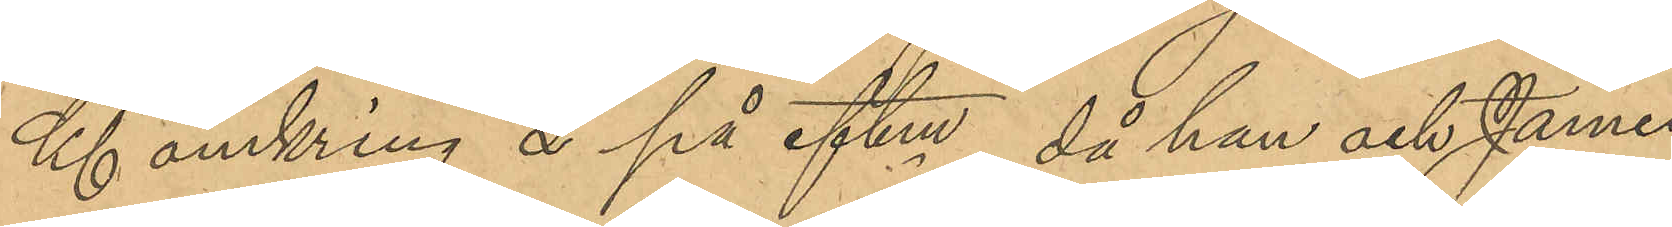Kl omkring 2 på aftonen, då han och James
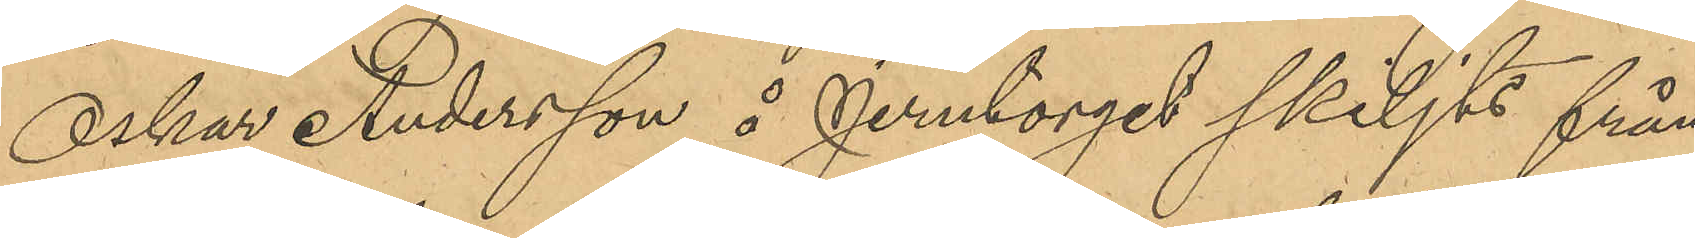Oskar Andersson å Jerntorget skiljts från
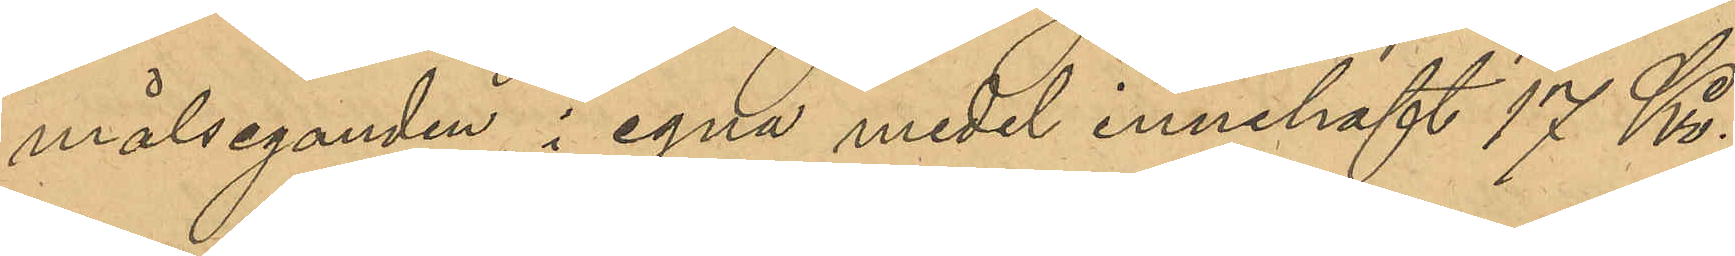målseganden, i egna medel innehaft 17 Kr.,
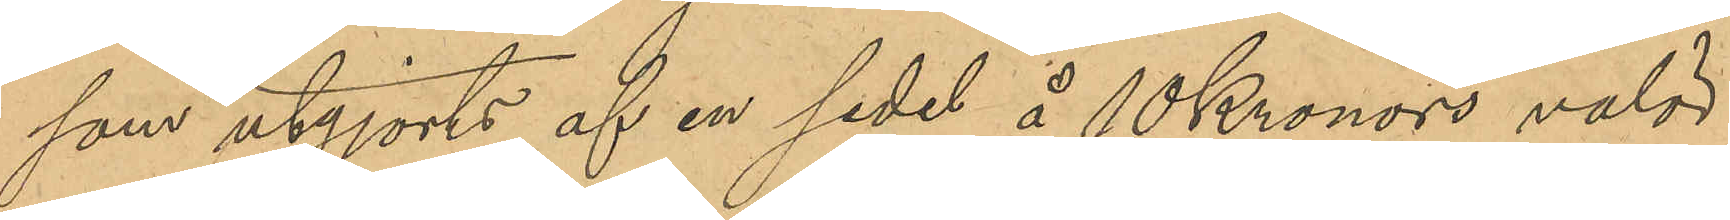som utgjorts af en sedel å 10 Kronors valör,
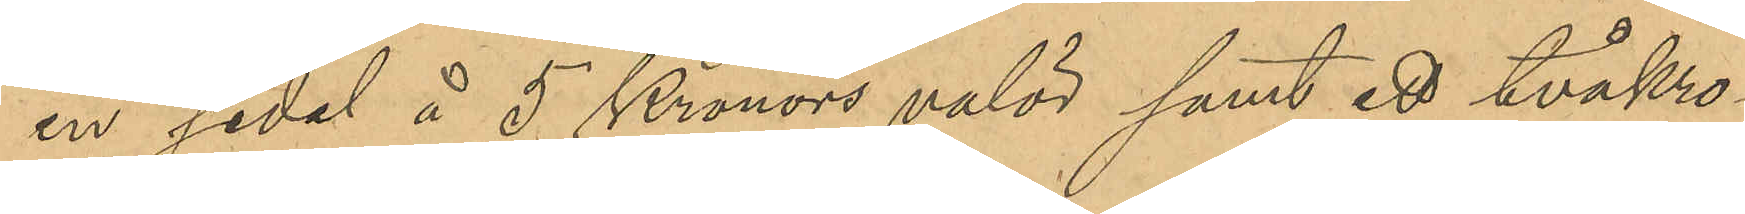en sedel å 5 Kronors valör samt ett tvåkro¬
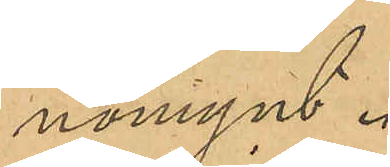nomynt.
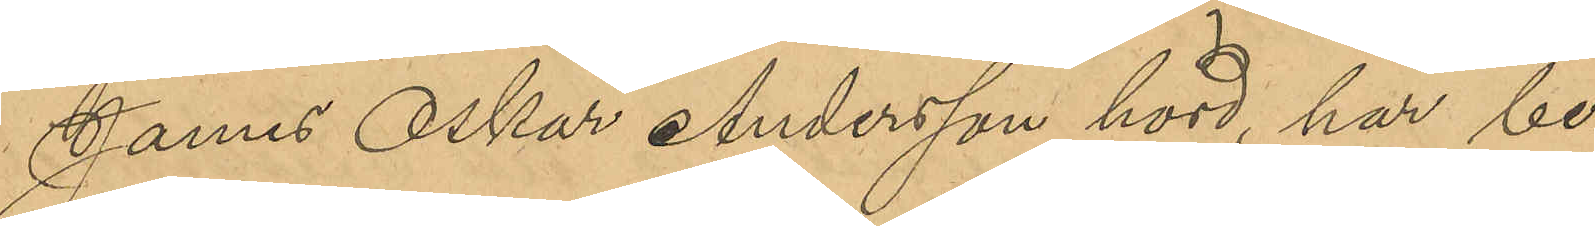James Oskar Andersson hörd, har be¬
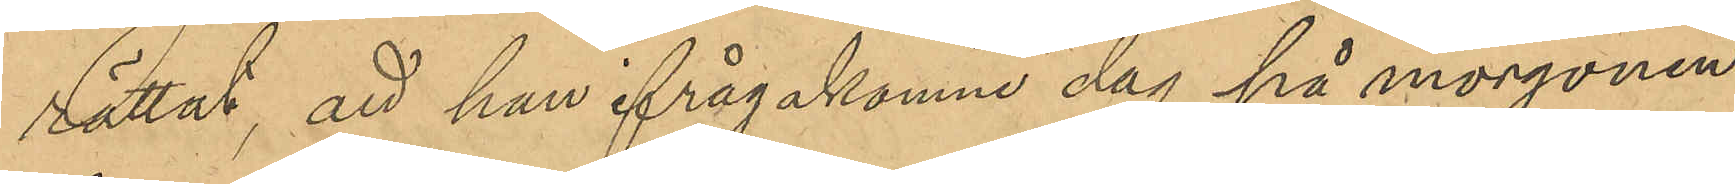rättat, att han ifrågakomne dag på morgonen
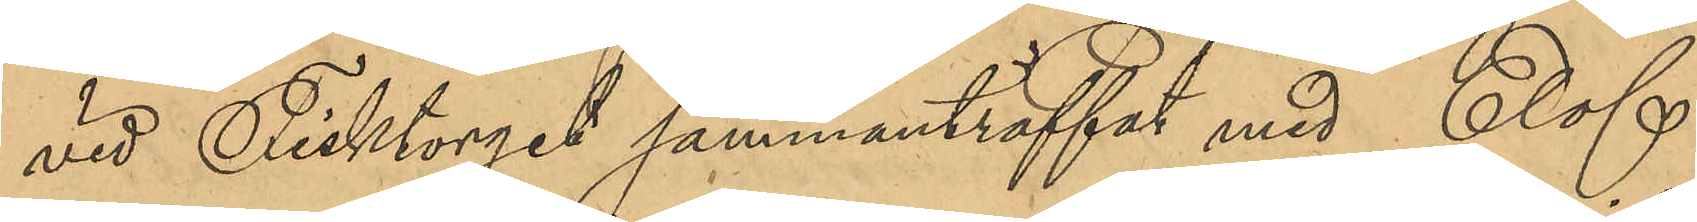vid Fisktorget sammanträffat med Elof
